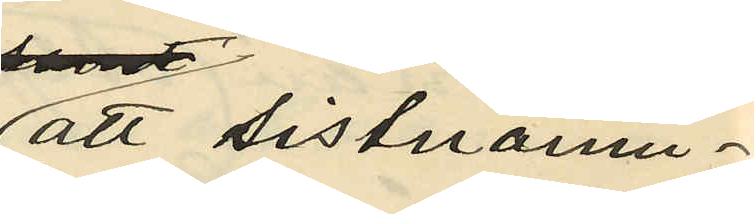att sistnämn¬
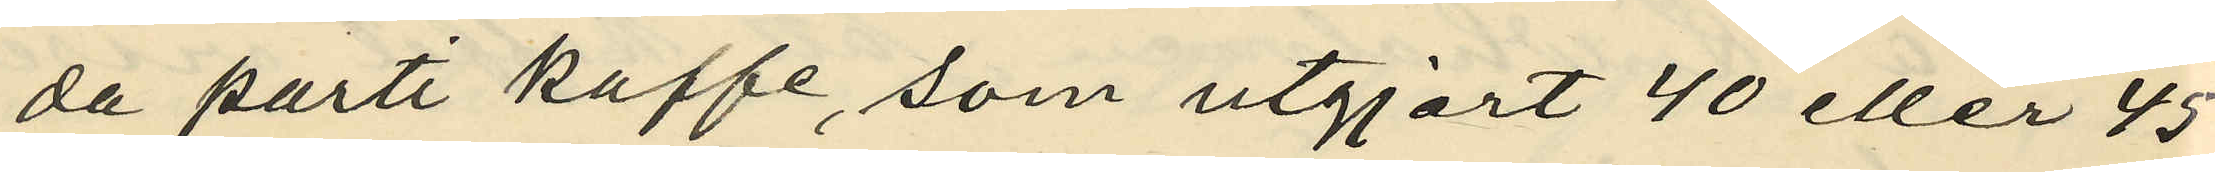da parti kaffe, som utgjort 40 eller 45
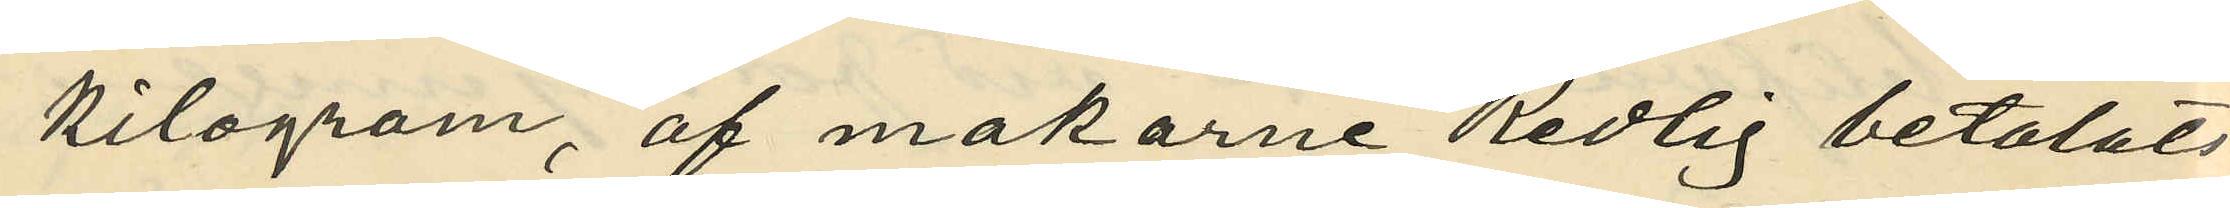kilogram, af makarne Redlig betalats
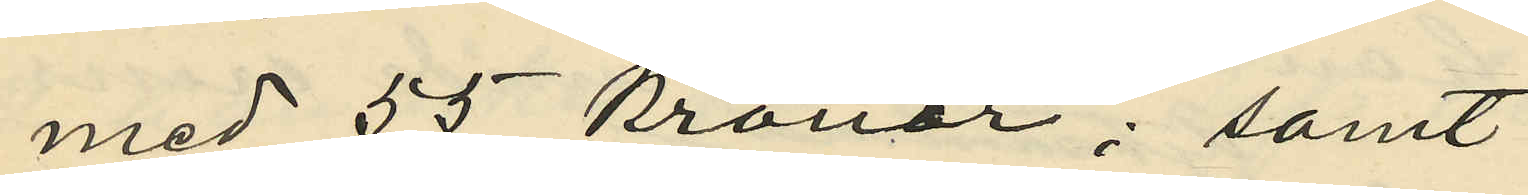med 55 kronor; samt
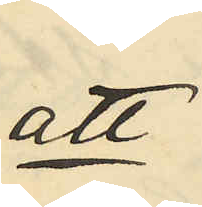att
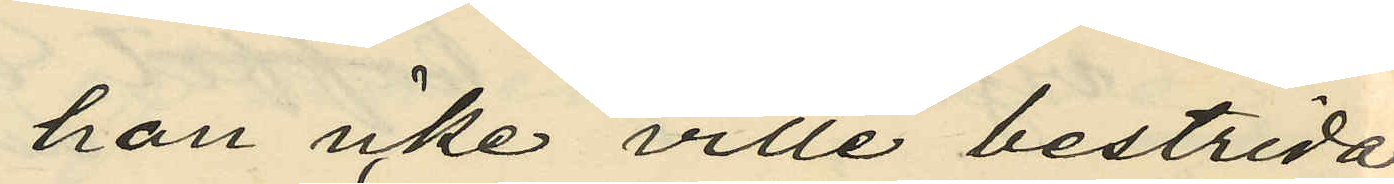han icke ville bestrida
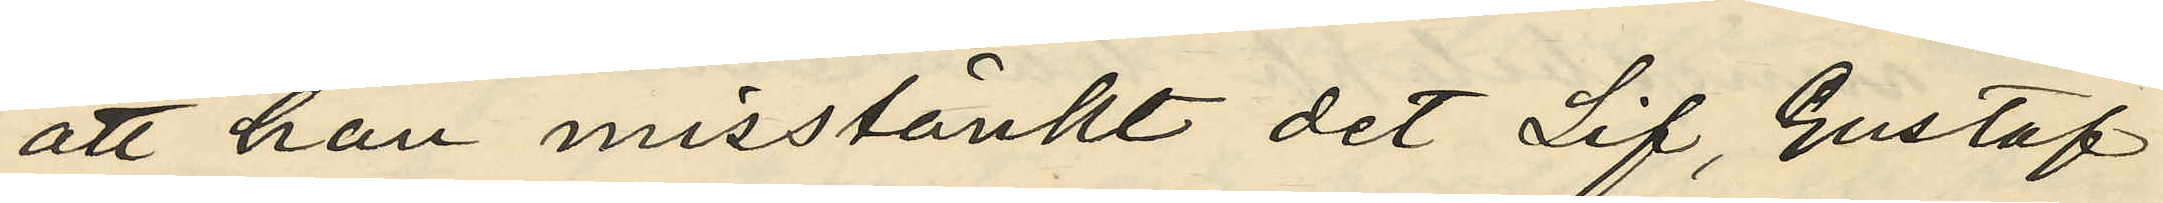att han misstänkt det Lif, Gustaf
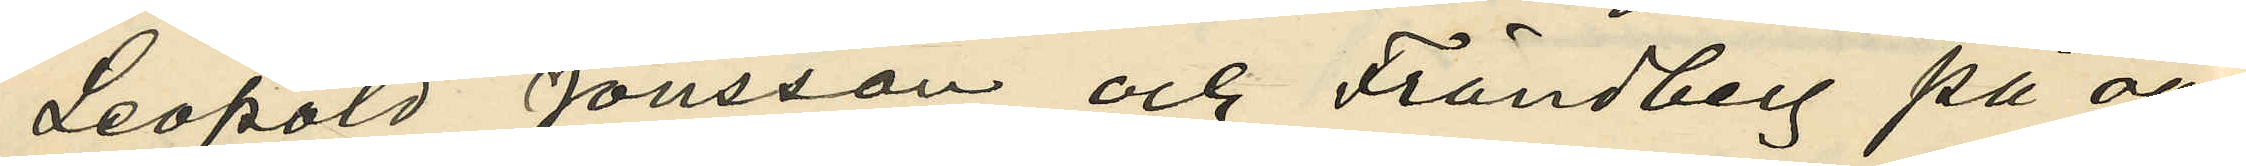Leopold Jönsson och Frändberg på oär¬
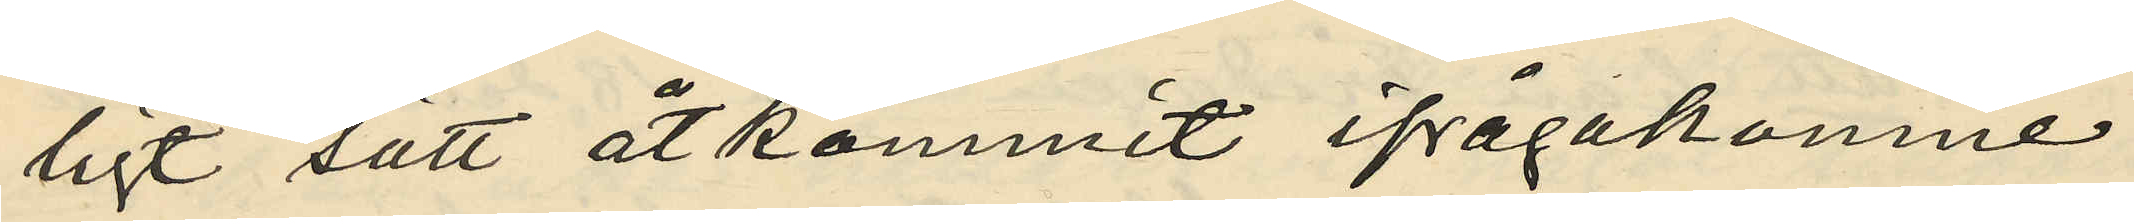ligt sätt åtkommit ifrågakomne
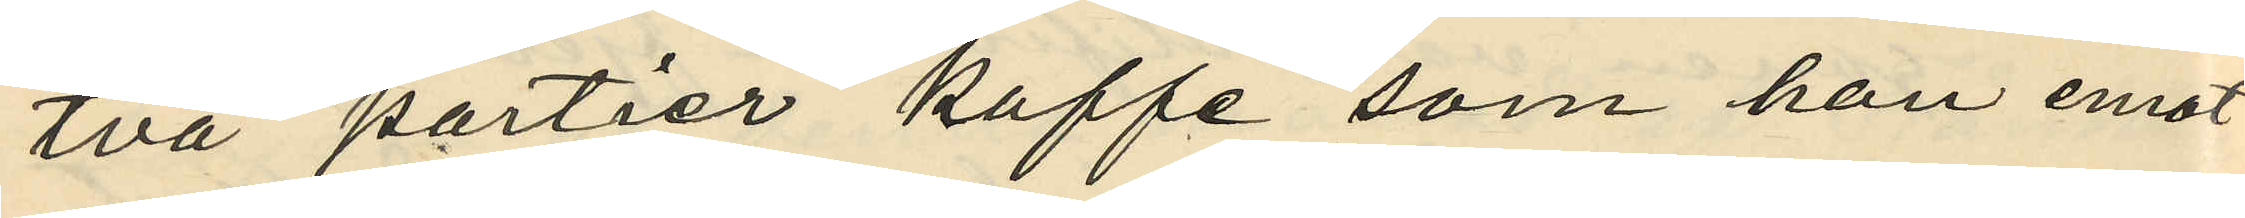två partier kaffe som han emot¬
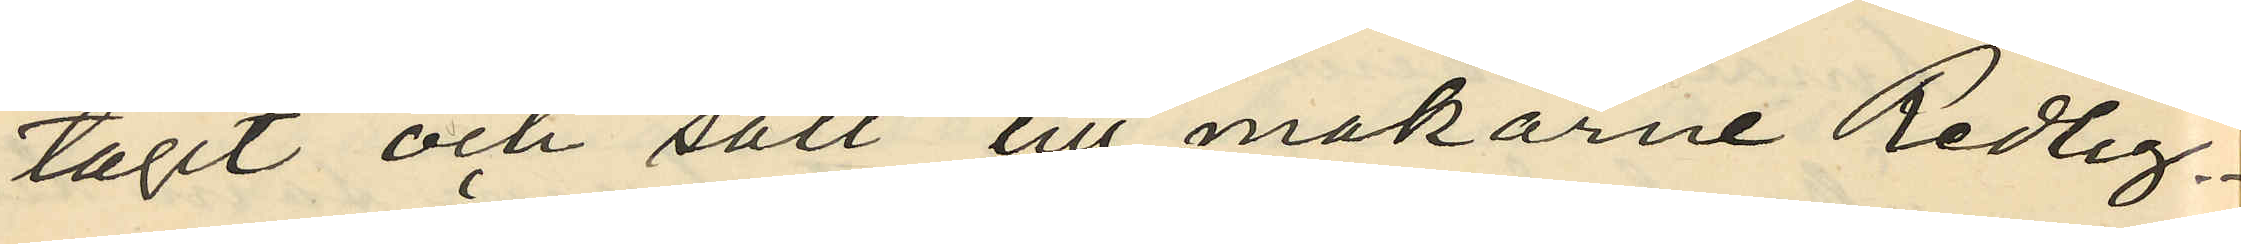tagit och sålt till makarne Redlig.
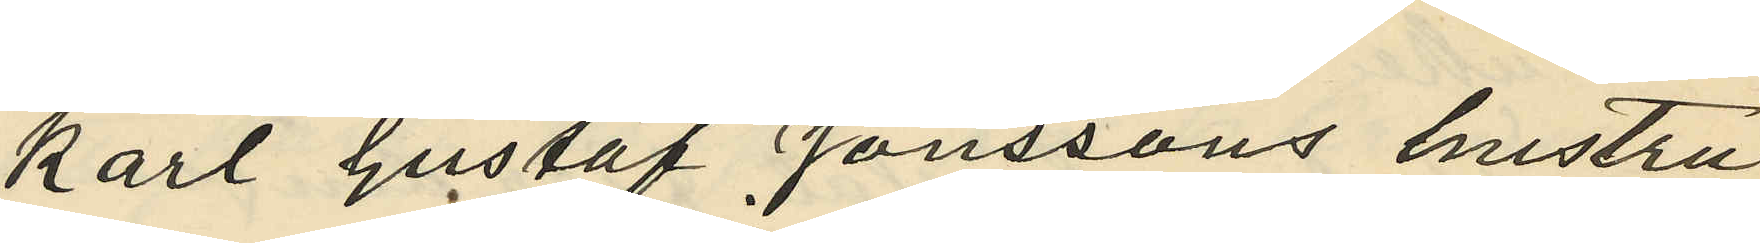Karl Gustaf Jönssons hustru
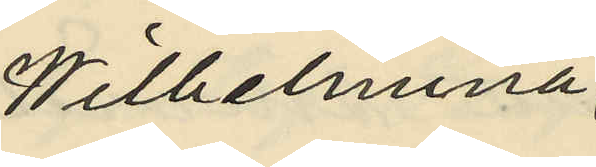Wilhelmina
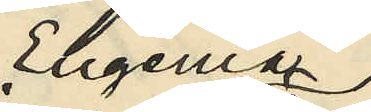Eugenia
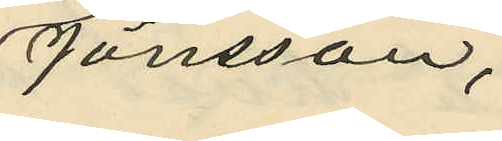Jönsson,
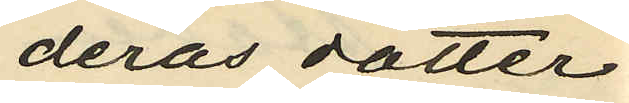deras dotter
